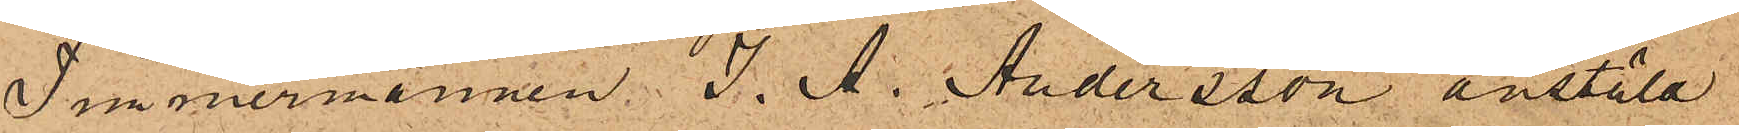Timmermannen J. A. Andersson anstäld
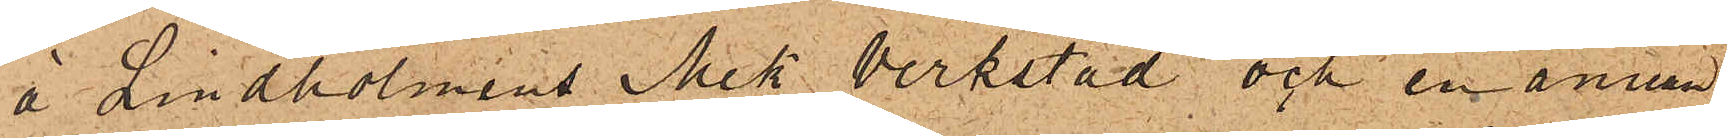å Lindholmens Mek verkstad och en annan
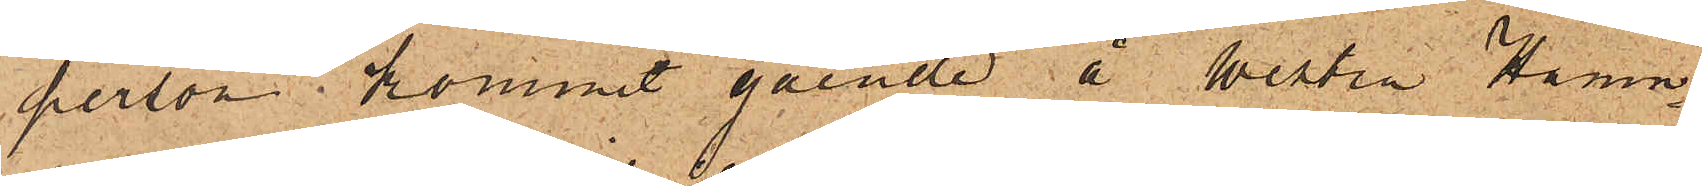person kommit gående å Westra Hamn¬
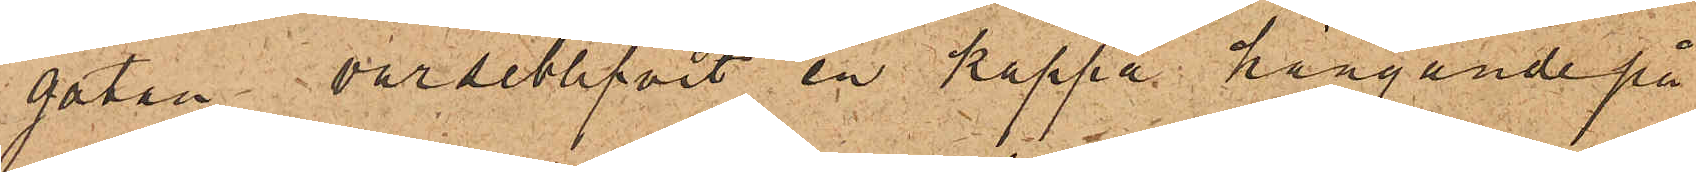gatan, varseblifvit en kappa hängande på
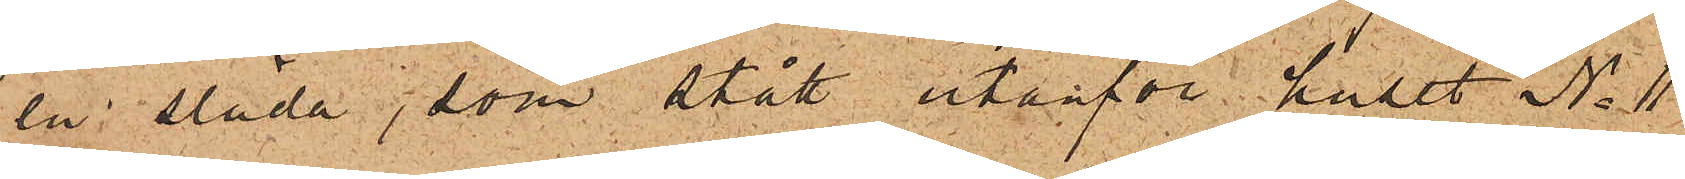en släde, som stått utanför huset No 11
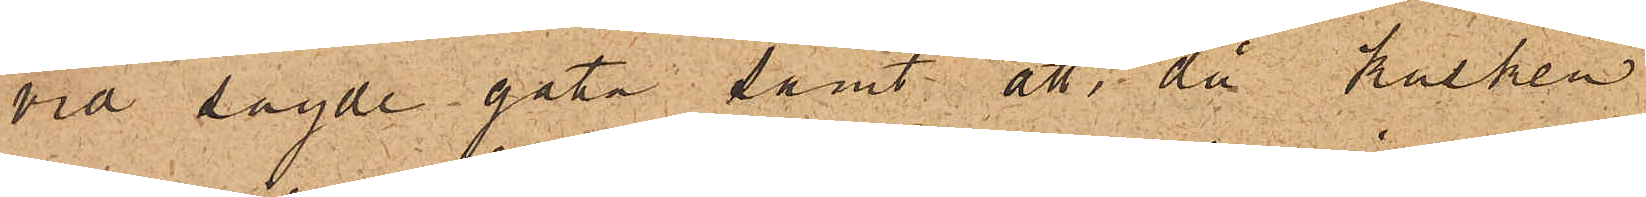vid sagde gata, samt att, då kalken
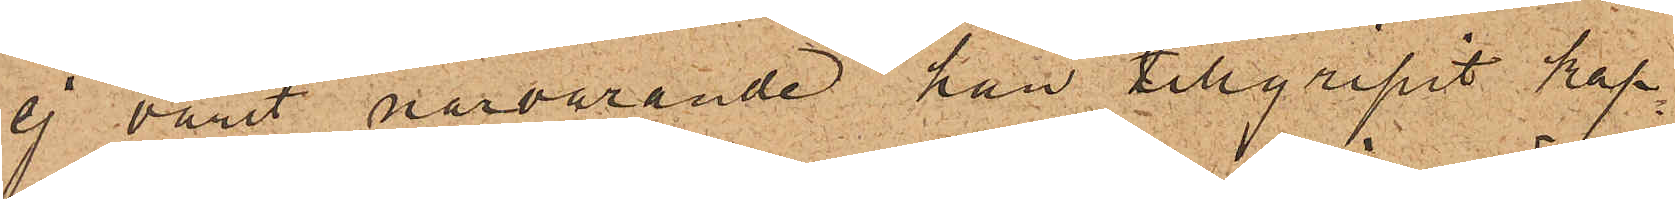ej varit närvarande han tillgripit kap¬
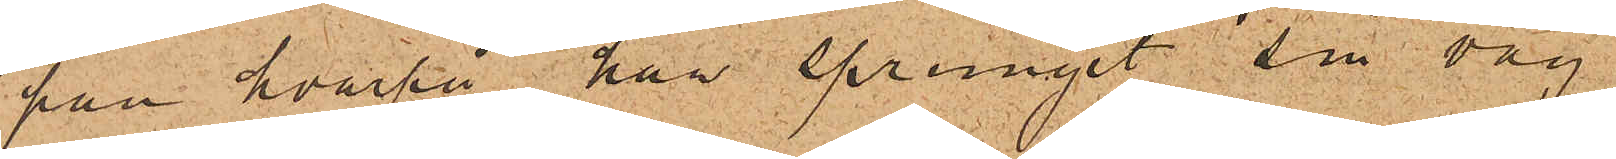pan hvarpå han sprungit sin väg
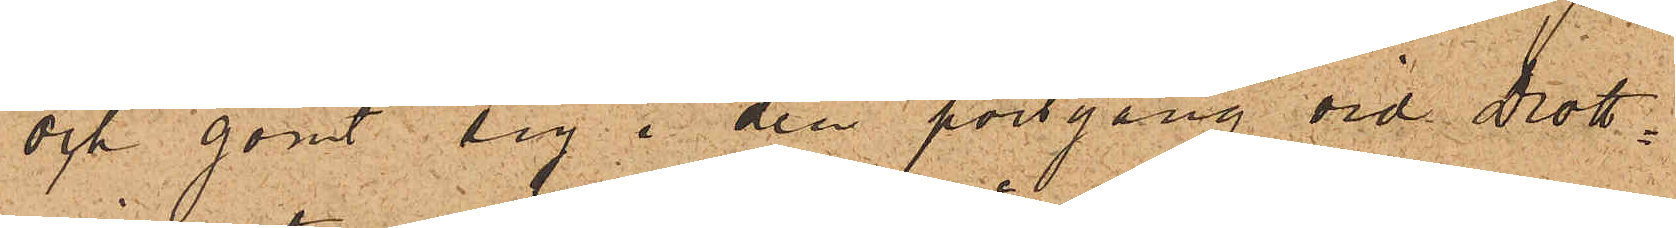och gömt sig i den portgång vid Drott¬
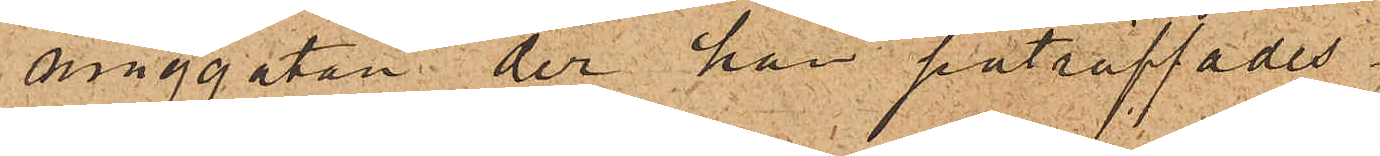ninggatan der han påträffades.
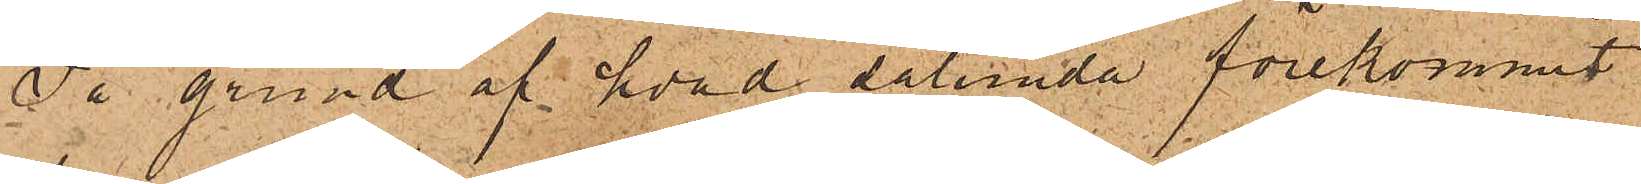På grund af hvad sålunda förekommit
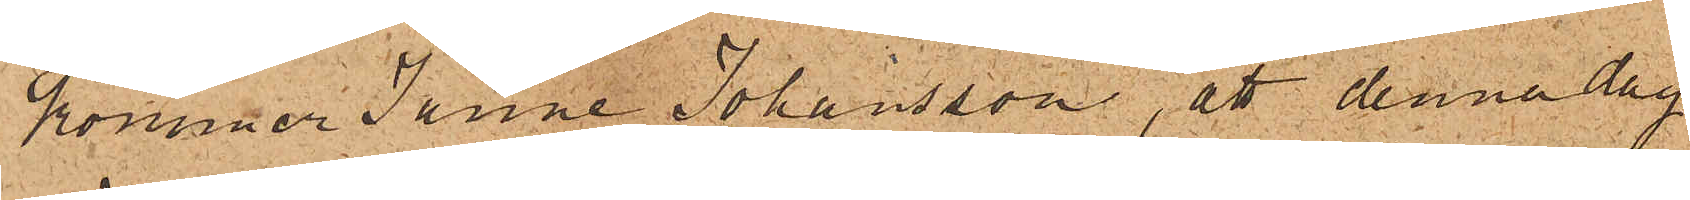kommer Janne Johansson, att denna dag
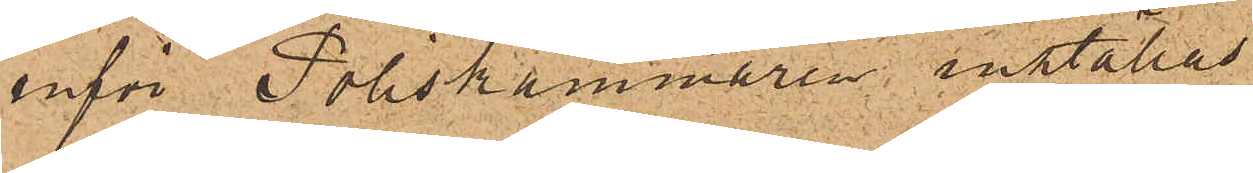inför Poliskammaren inställas.
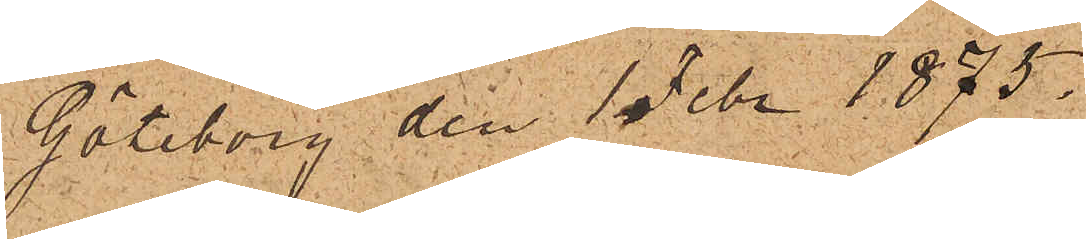Göteborg den 1 Febr. 1875.
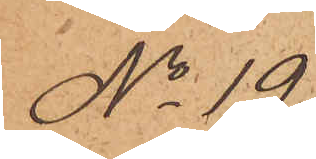No 19
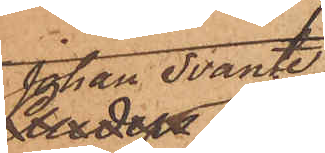Johan Svante
